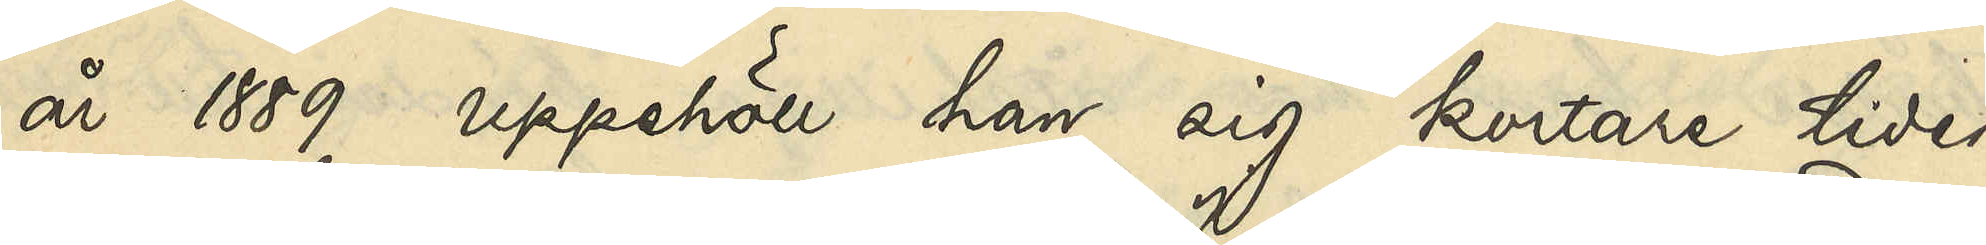år 1889 uppehöll han sig kortare tider
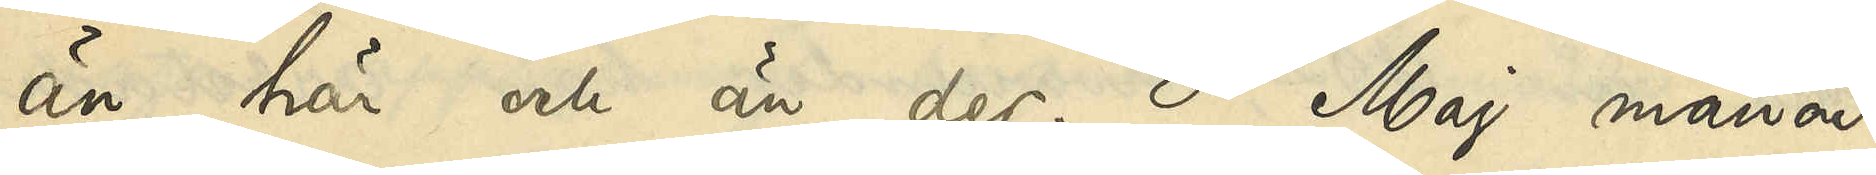än här och än der. I Maj månad
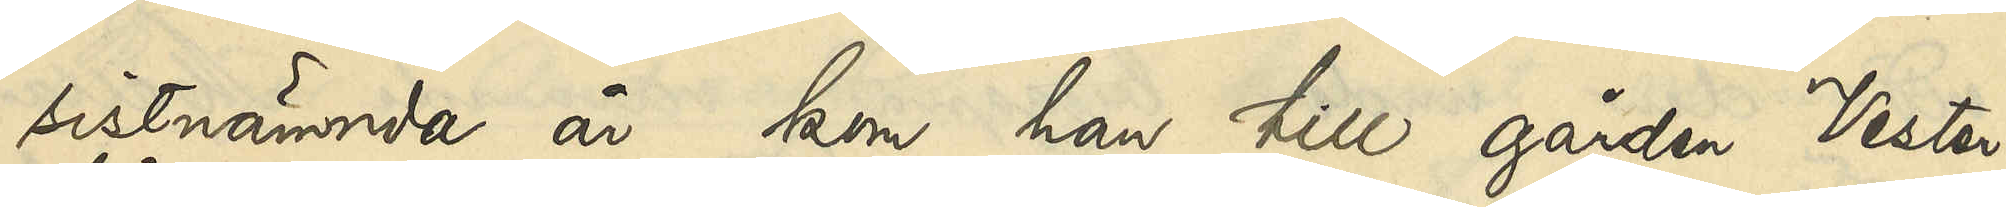sistnämnde år kom han till gården Vester¬
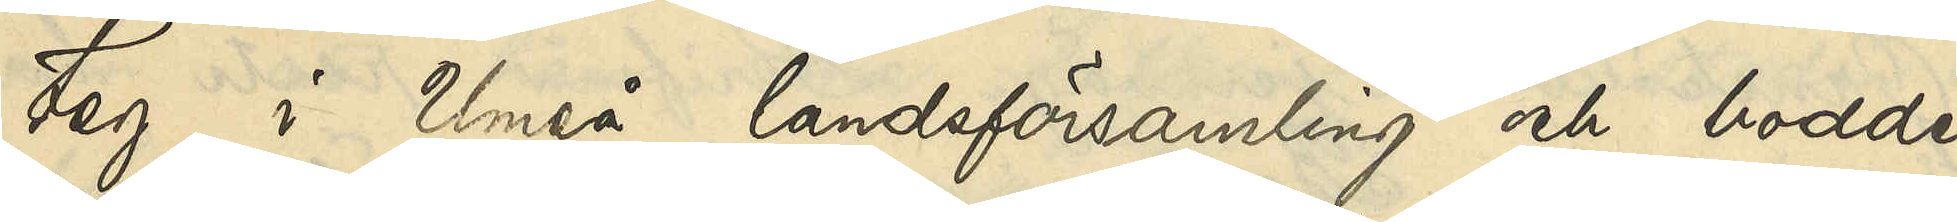teg i Umeå landsförsamling och bodde
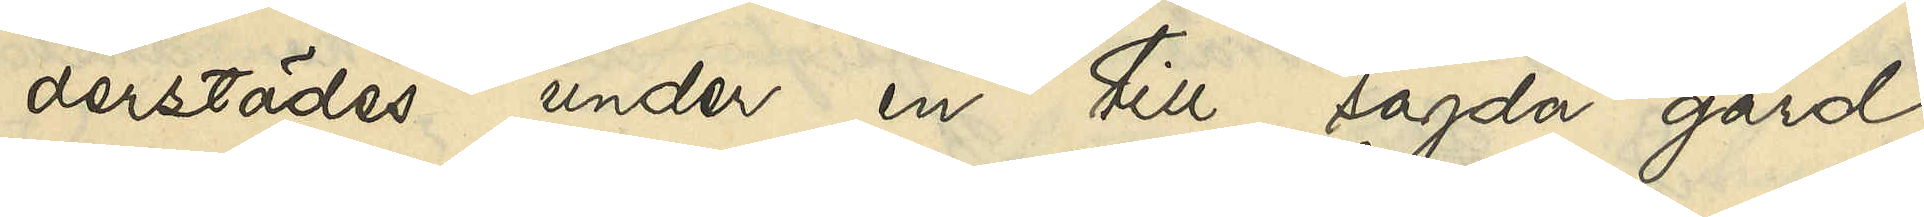derstädes under en till sagda gård
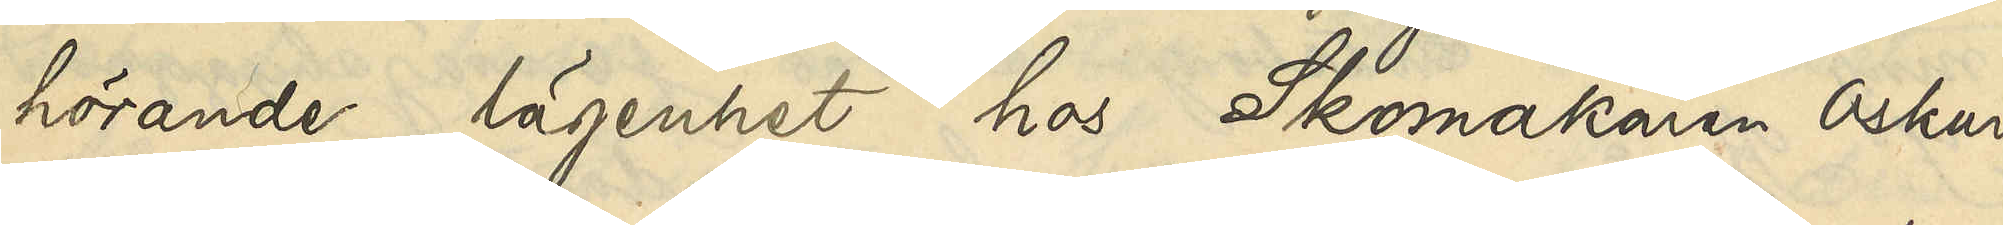hörande lägenhet hos Skomakaren Oskar
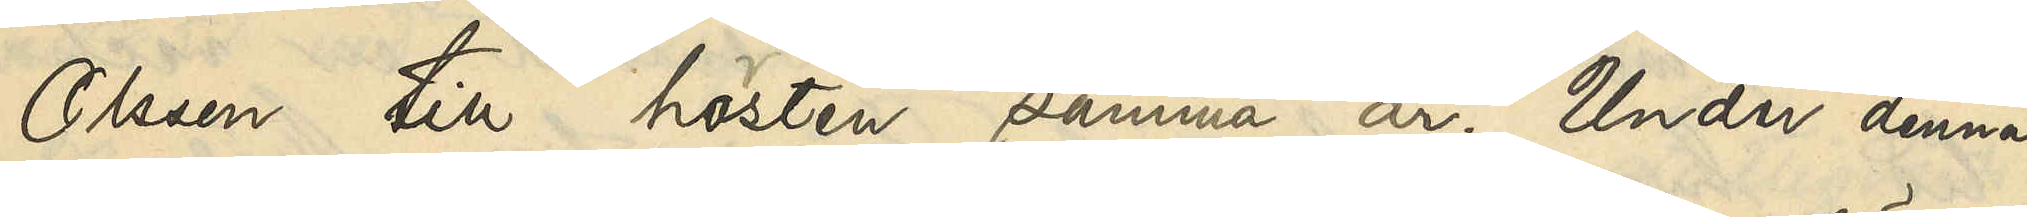Olsson till hösten samma år. Under denna
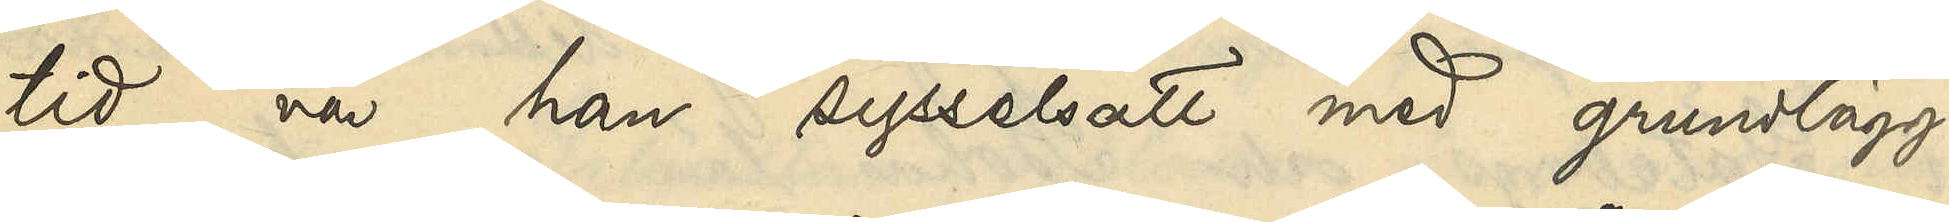tid var han sysselsatt med grundlägg¬
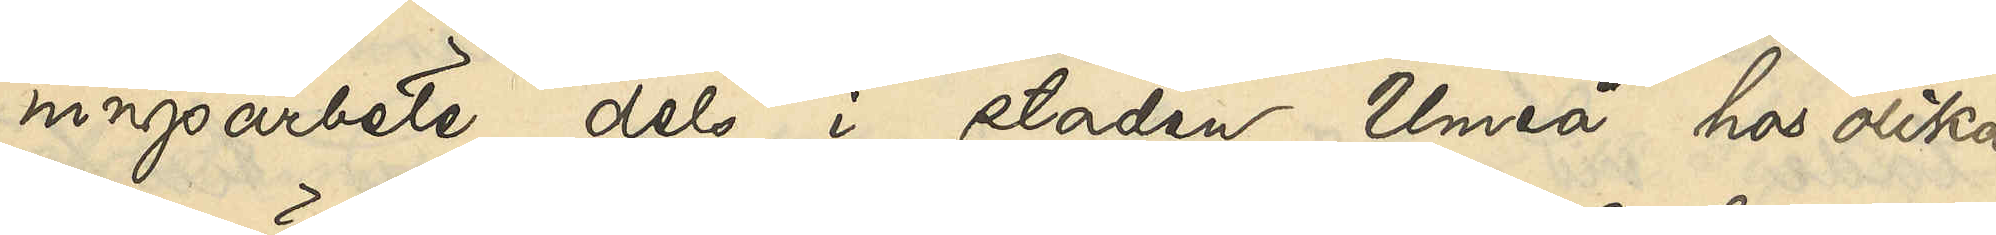ningsarbete dels i staden Umeå hos olika
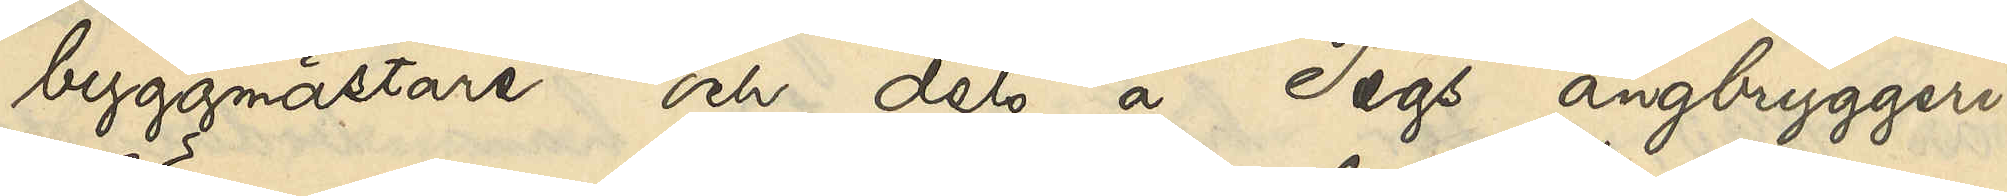byggmästare och dels å Tegs ångbryggeri.
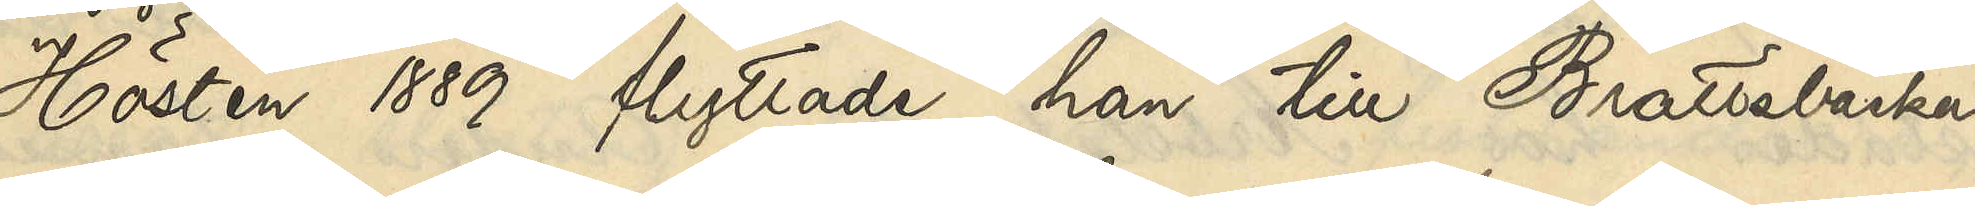Hösten 1889 flyttade han till Brattebacka
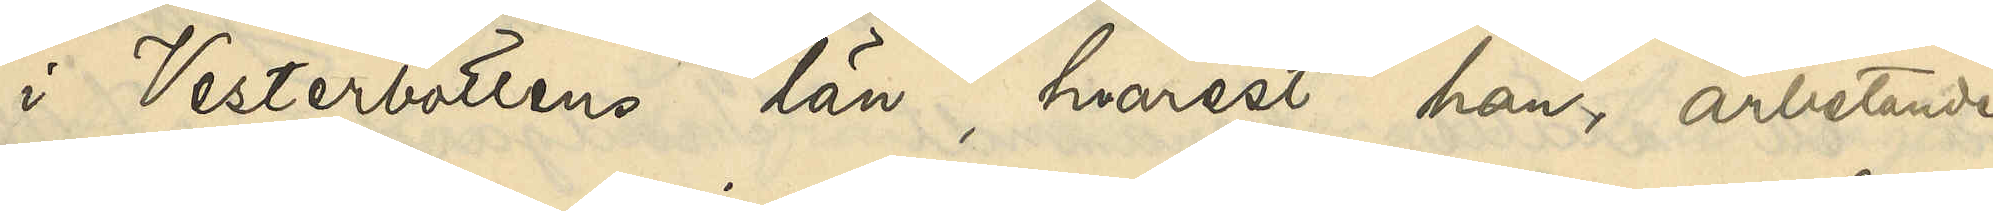i Vesterbottens län, hvarest han, arbetande
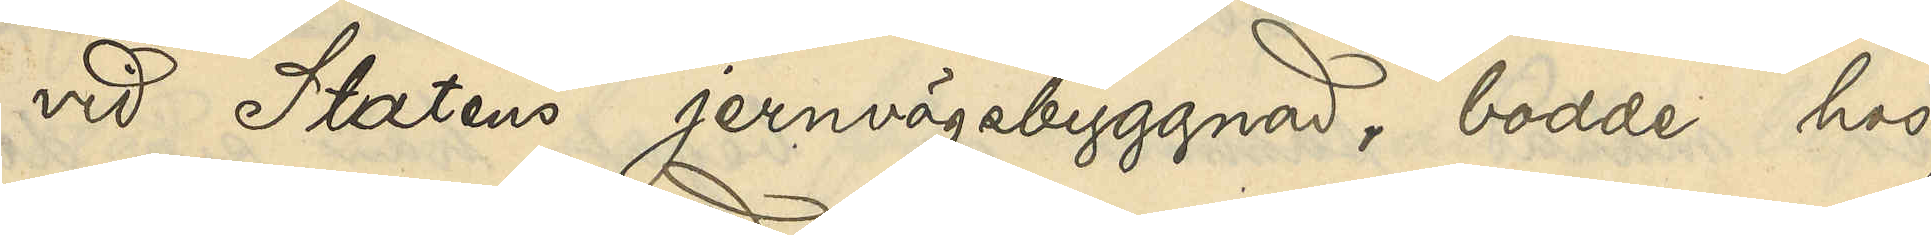vid Statens jernvägsbyggnad, bodde hos
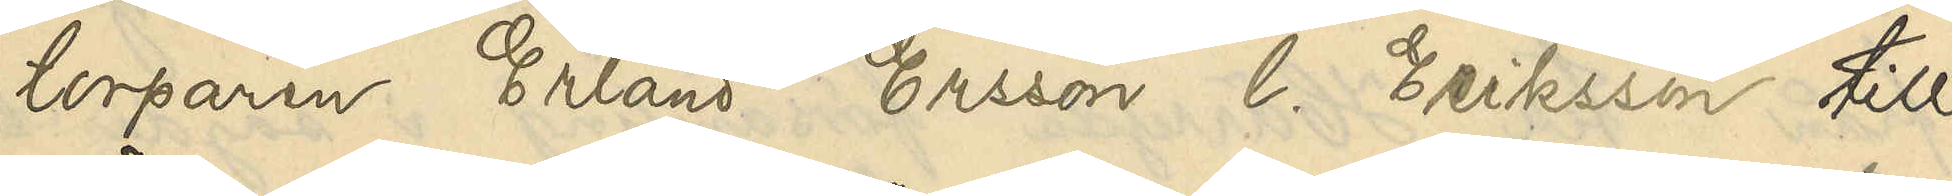torparen Erland Ersson l. Eriksson till
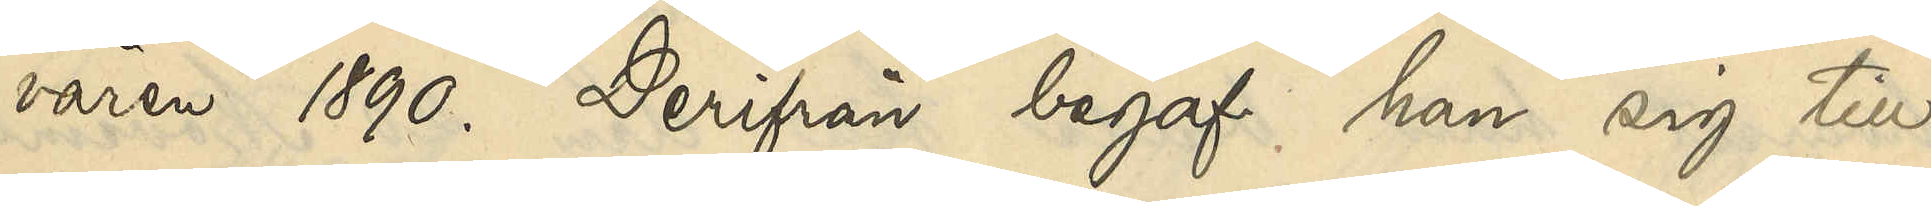våren 1890. Derifrån begaf han sig till
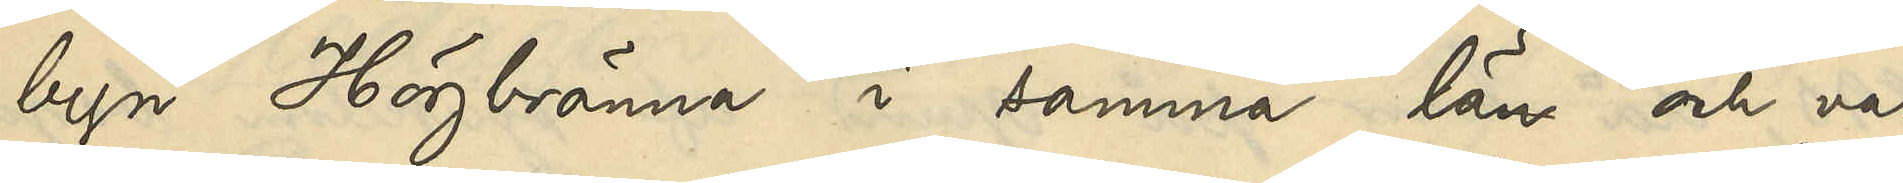byn Högbränna i samma län och var
